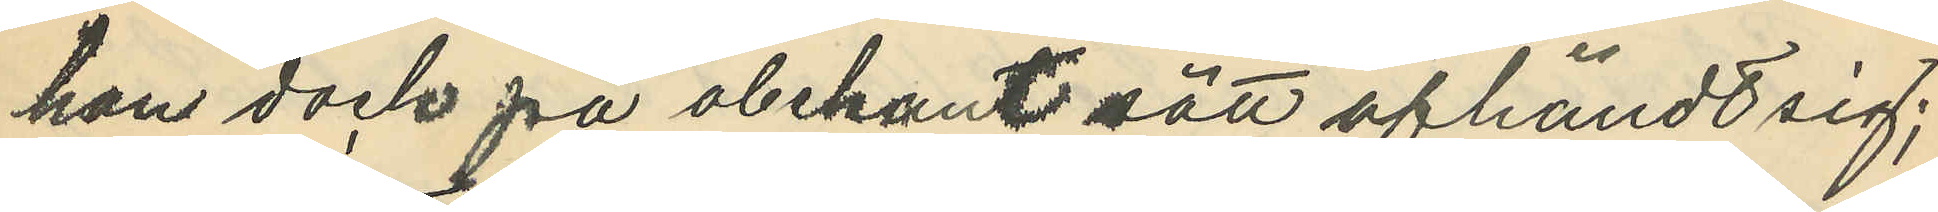han dock på obekant sätt afhändt sig;
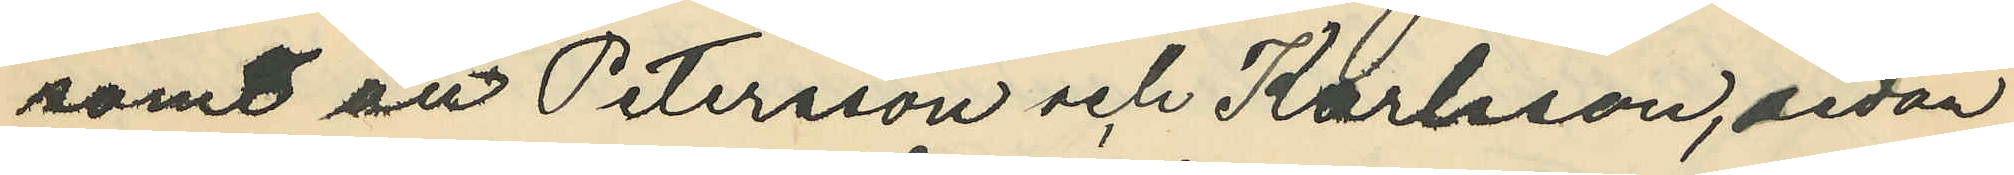samt att Petersson och Karlsson, sedan
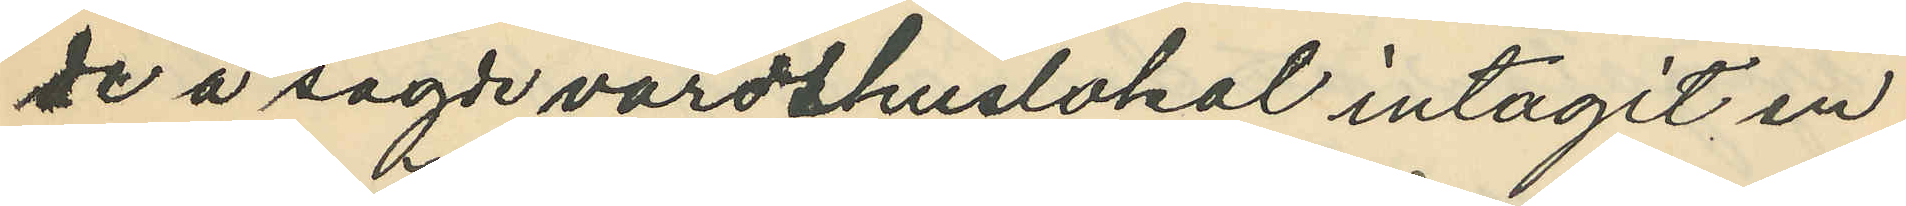de å sagde värdshuslokal intagit en
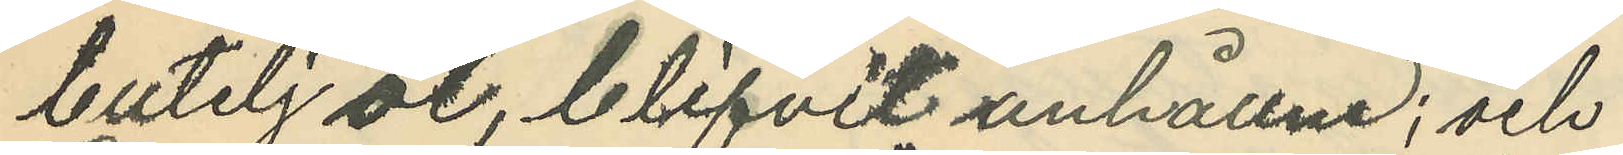butelj öl, blifvit anhållne; och
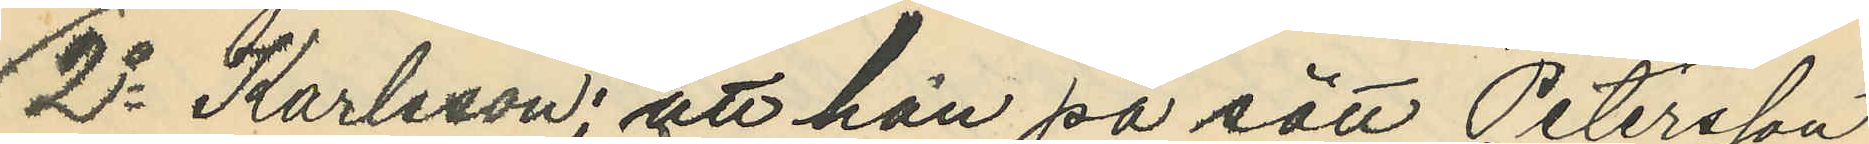2o Karlsson; att han på sätt Petersson
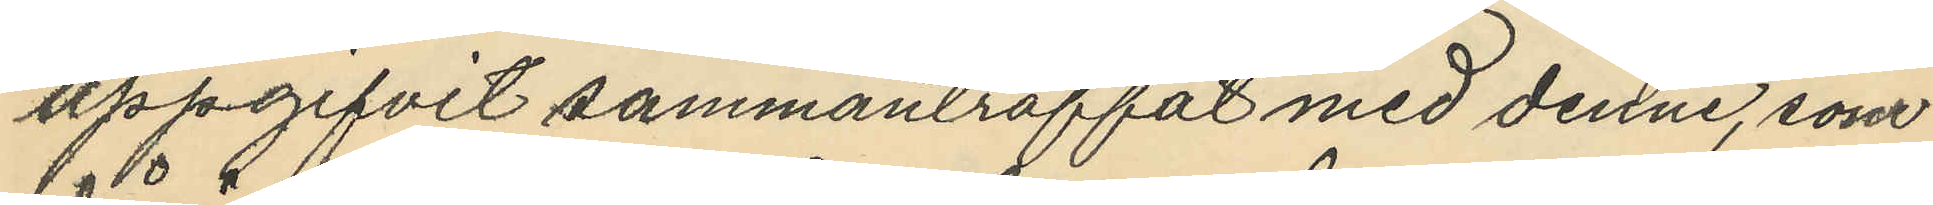uppgifvit sammanträffat med denne, som
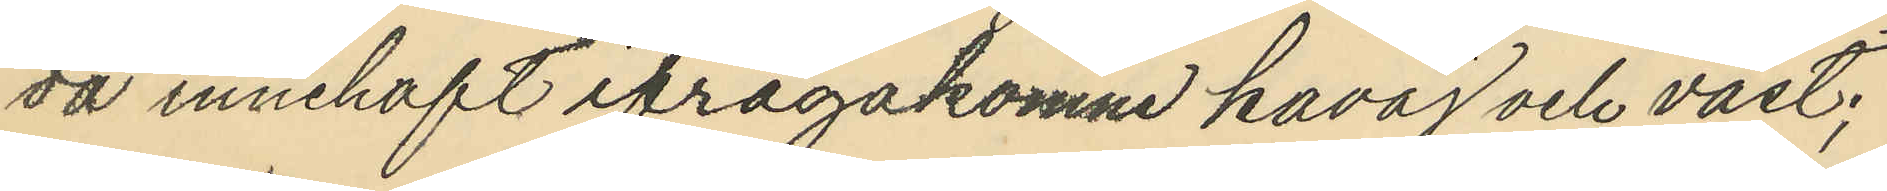då innehaft ifrågakomne kavaj och väst;
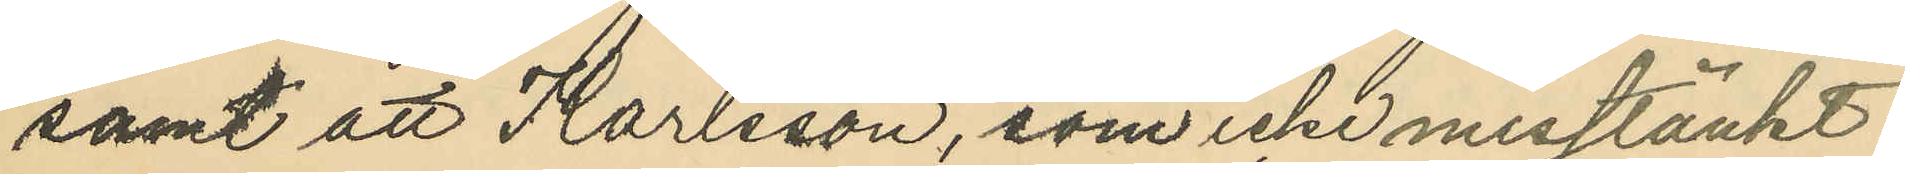samt att Karlsson, som icke misstänkt
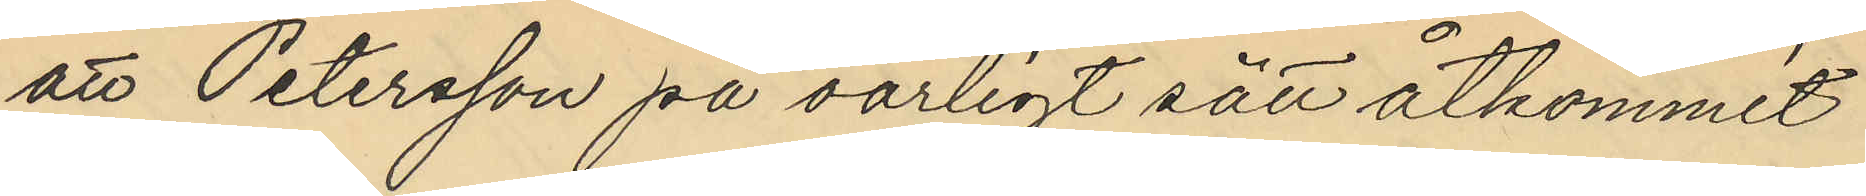att Petersson på oärligt sätt åtkommit
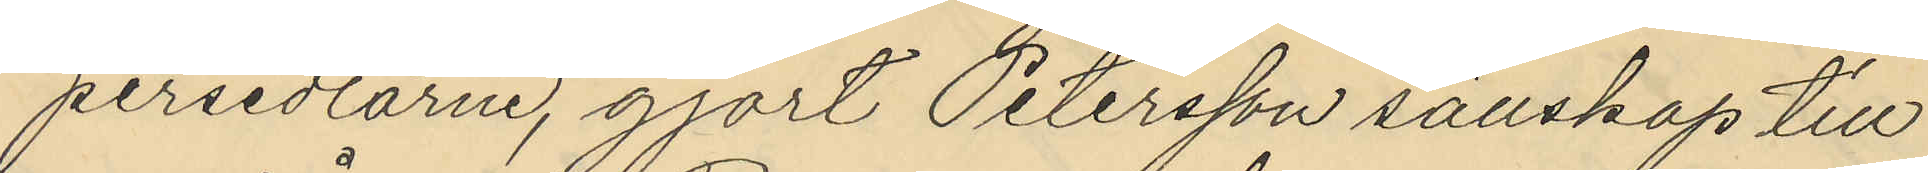persedlarne, gjort Petersson sällskap till
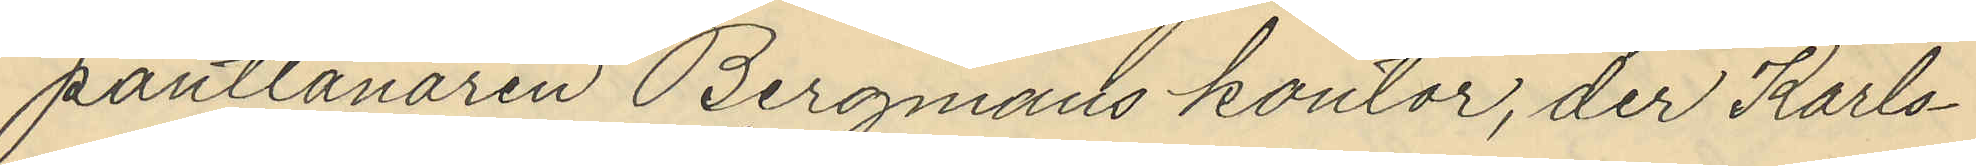pantlånaren Bergmans kontor, der Karls¬
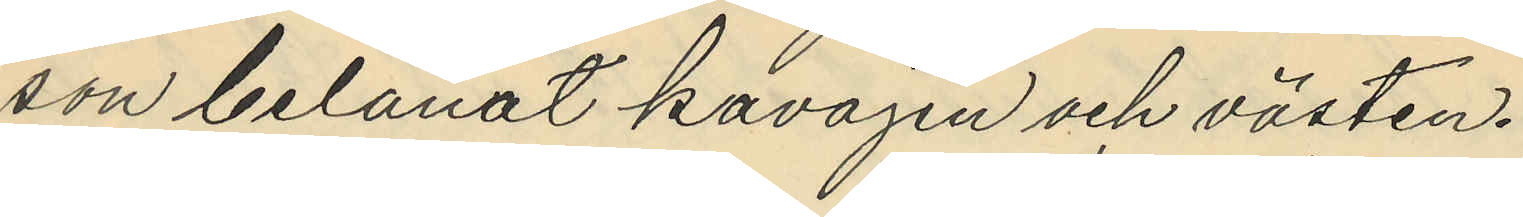son belånat kavajen och västen.
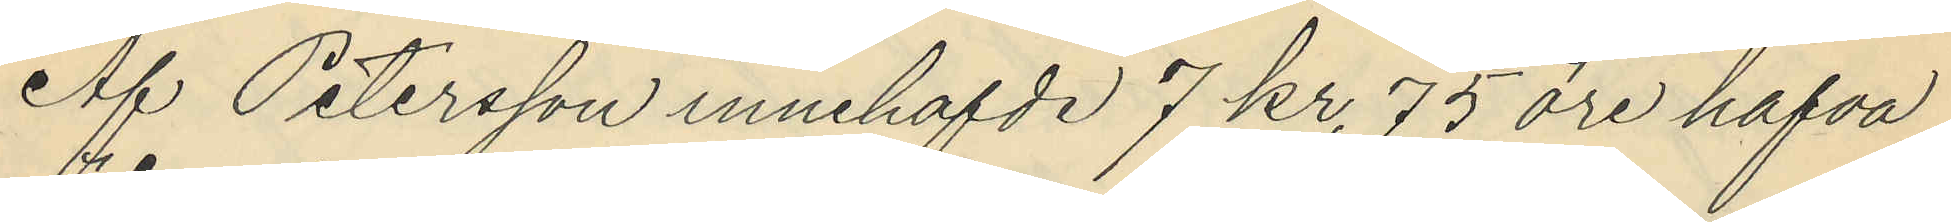Af Petersson innehafvde 7 kr. 75 öre hafva
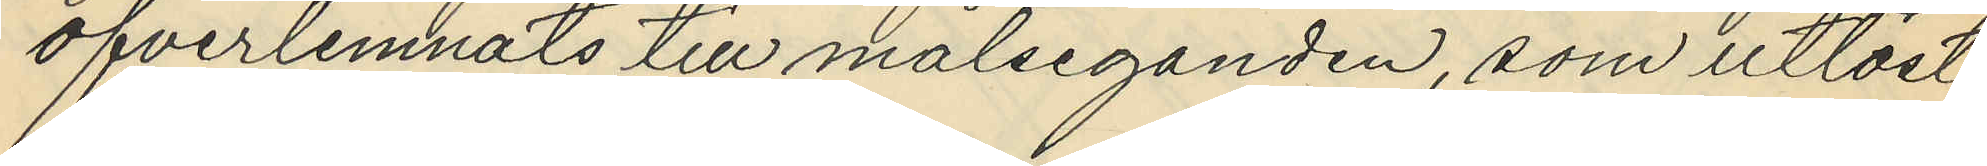öfverlemnats till målseganden, som utlöst
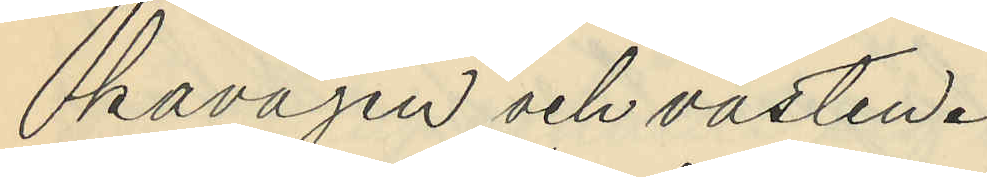kavajen och västen.
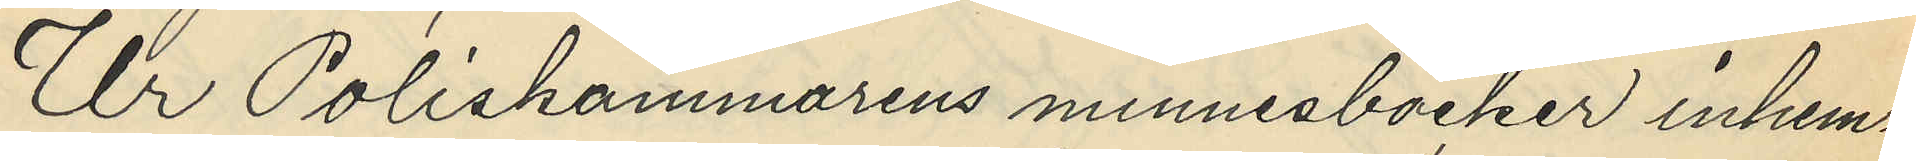Ur Poliskammarens minnesböcker inhem¬
